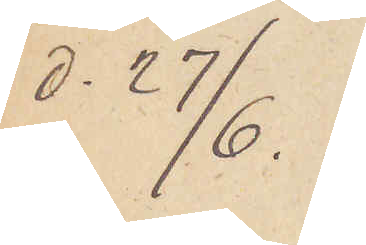d. 27/6.
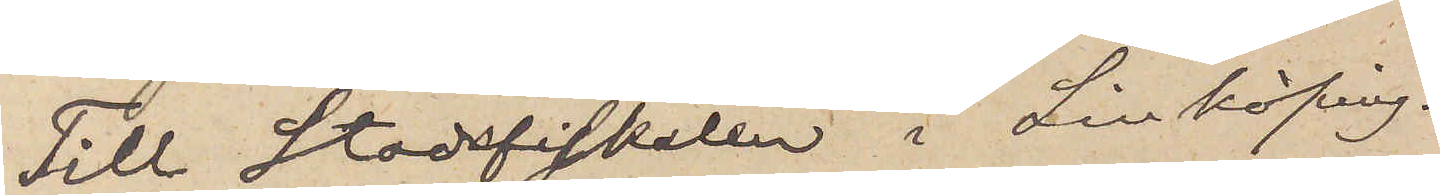Till Stadsfiskalen i Linköping.
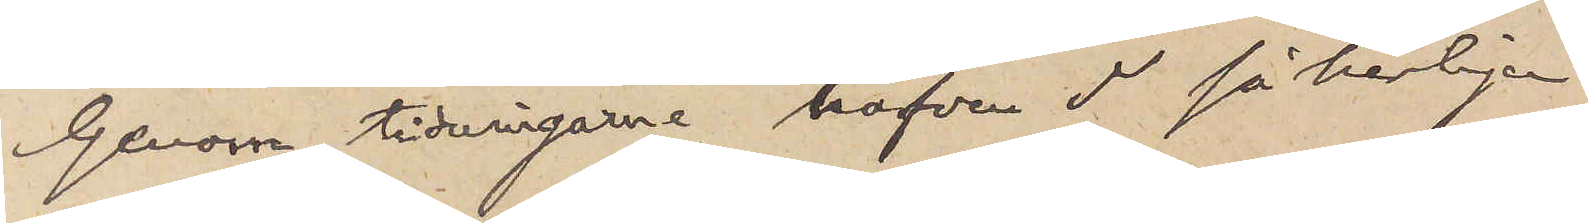Genom tidningarne hafven I säkerligen
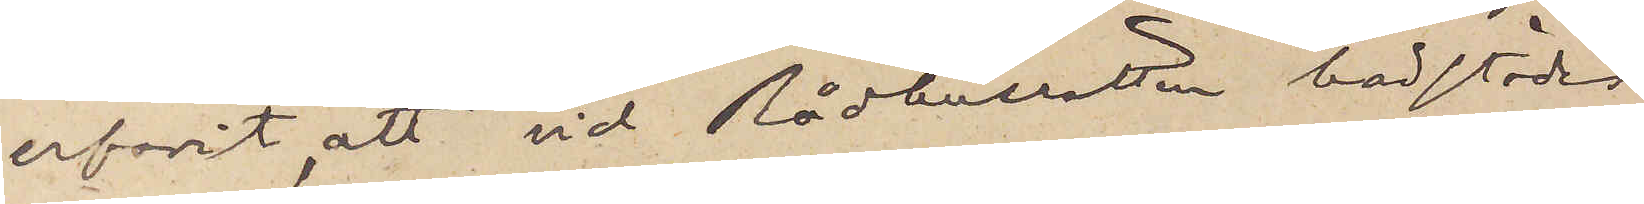erfarit, att vid Rådhusrätten härstädes
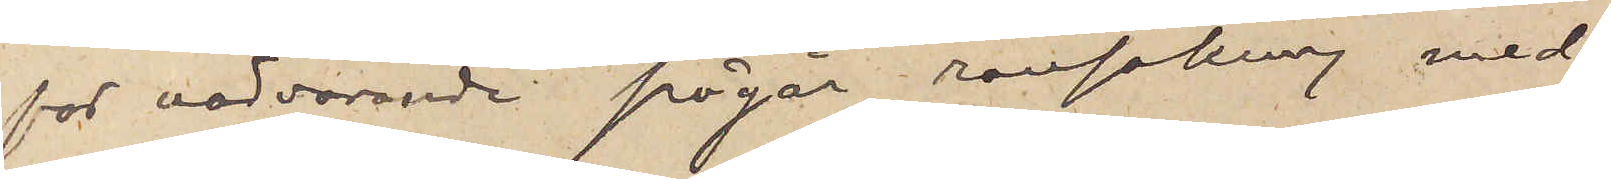för närvarande pågår ransakning med
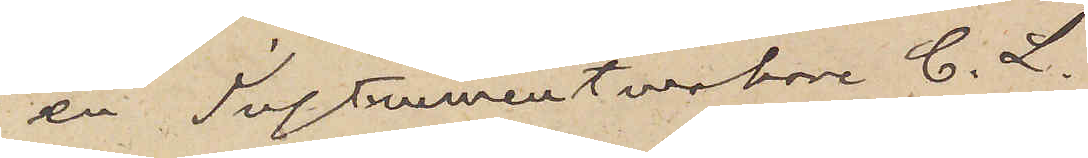en Instrumentmakare C. L.
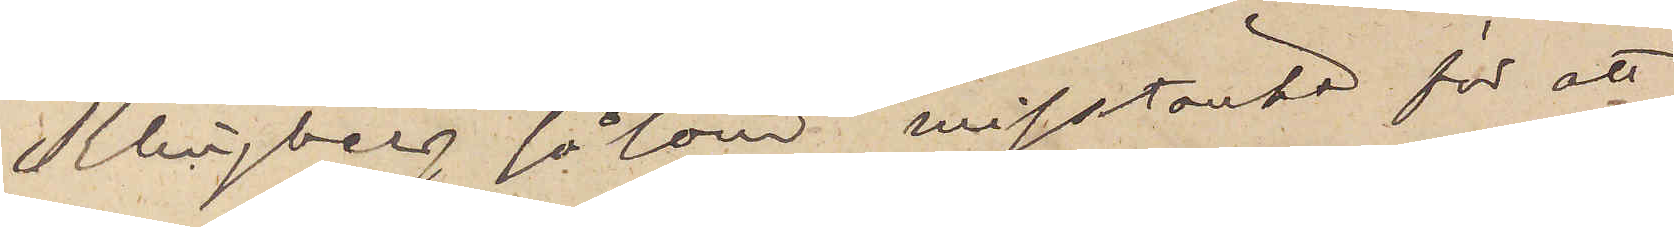Klingberg såsom misstänkt för att
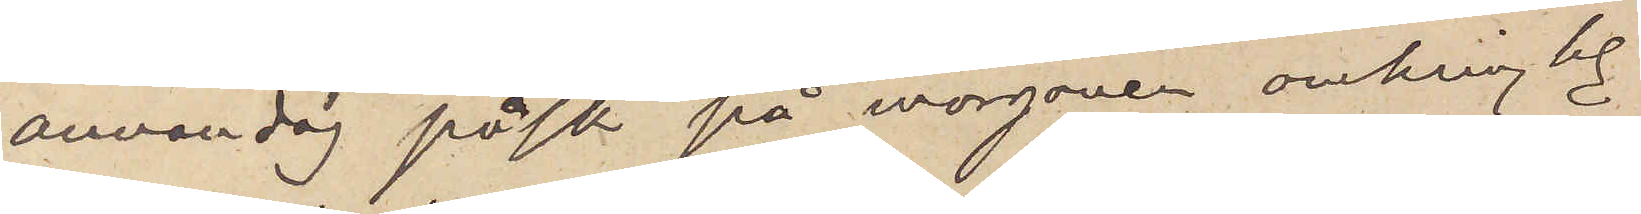annandag påsk på morgonen omkring kl
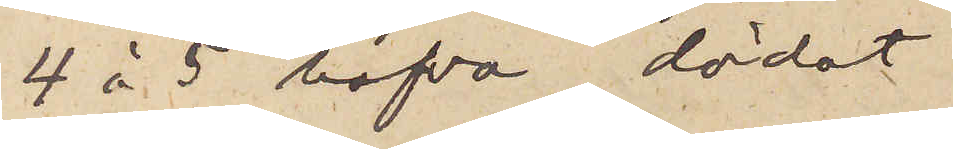4 à 5 hafva dödat
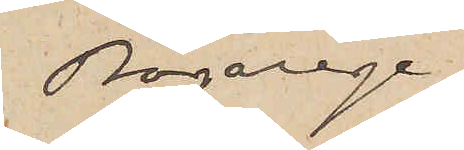Bagarege¬
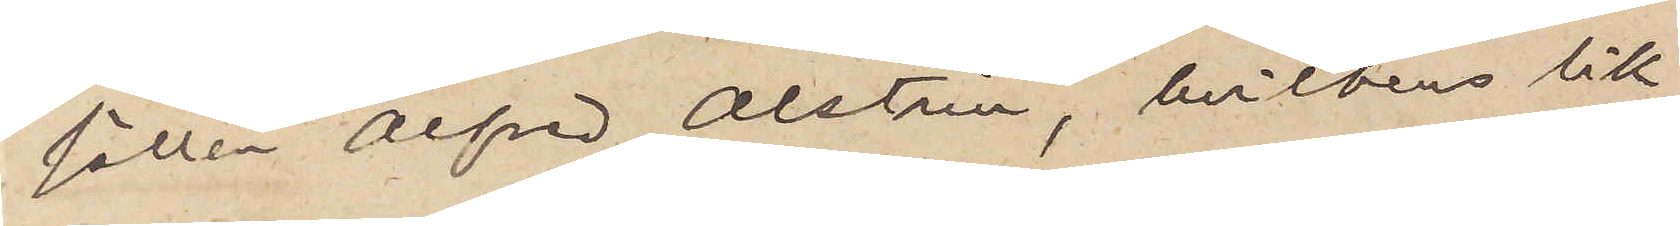gesällen Alfred Alstrin, hvilkens lik
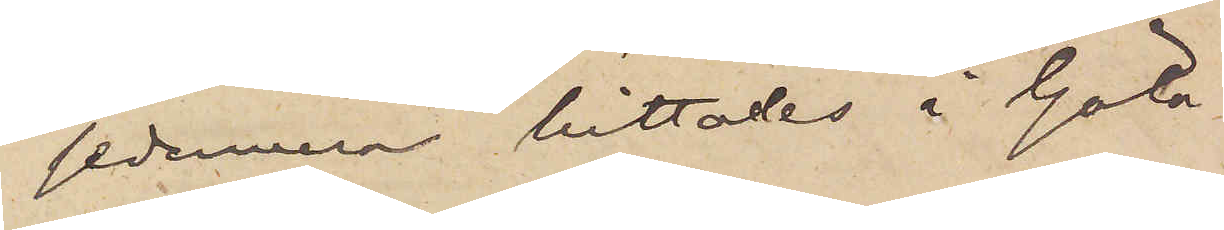sedermera hittades i Göta
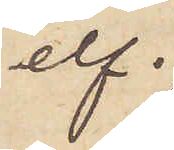elf.
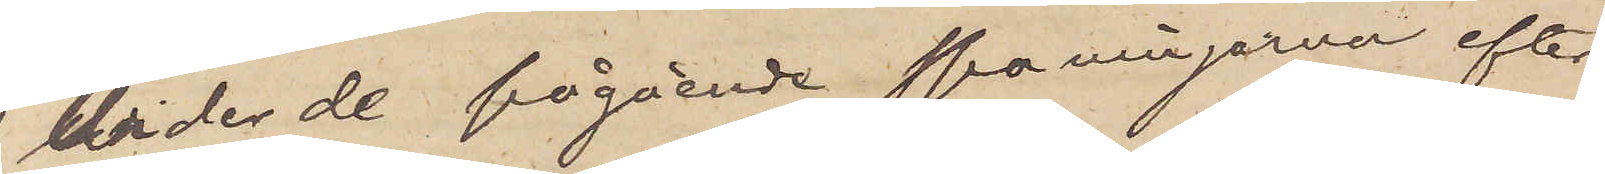Under de pågående spaningarne efter
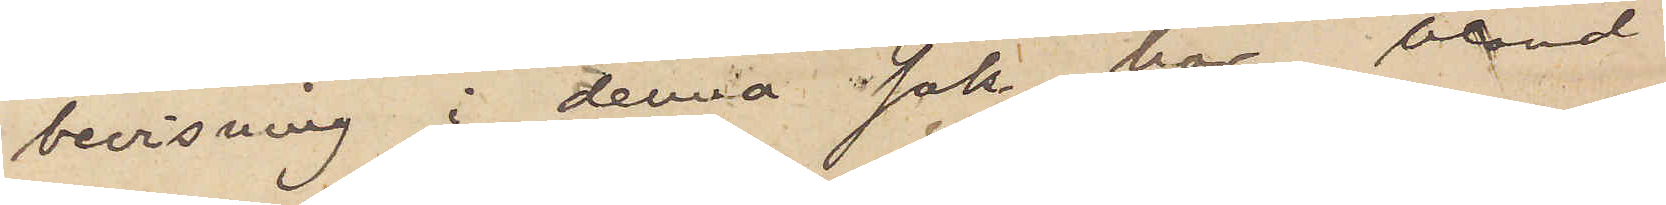bevisning i denna sak har, bland
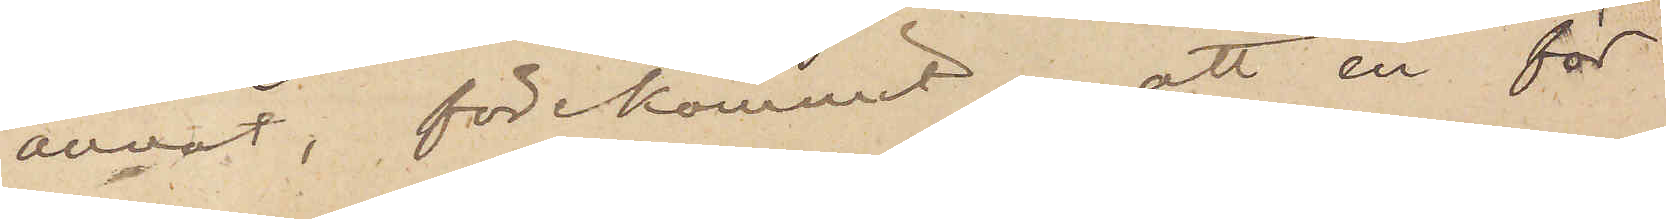annat, förekommit, att en för
